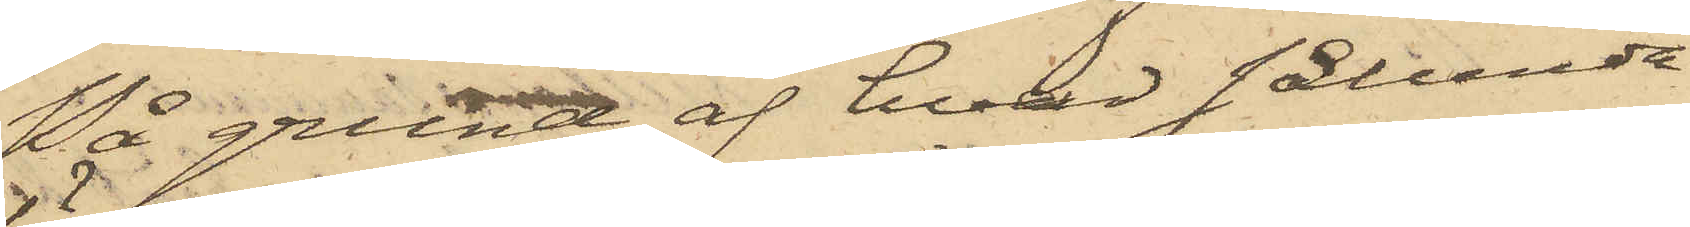På grund af hvad sålunda
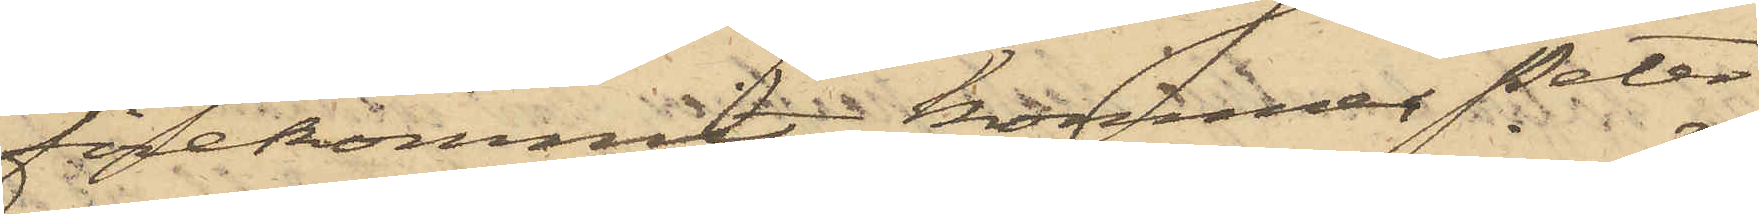förekommit, kommer Peter
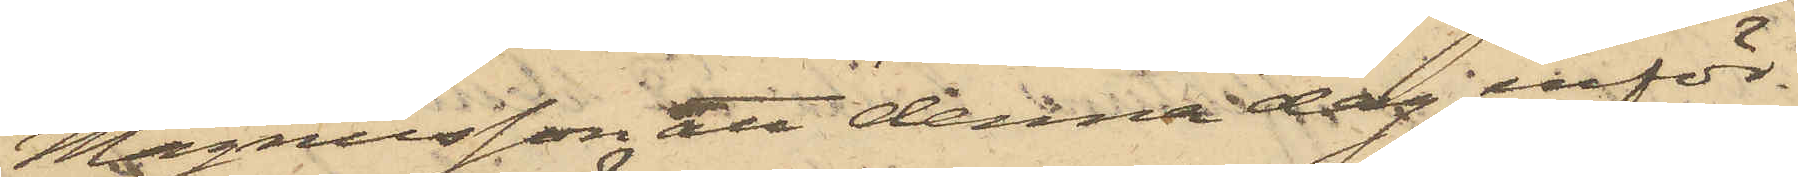Magnusson att denna dag inför
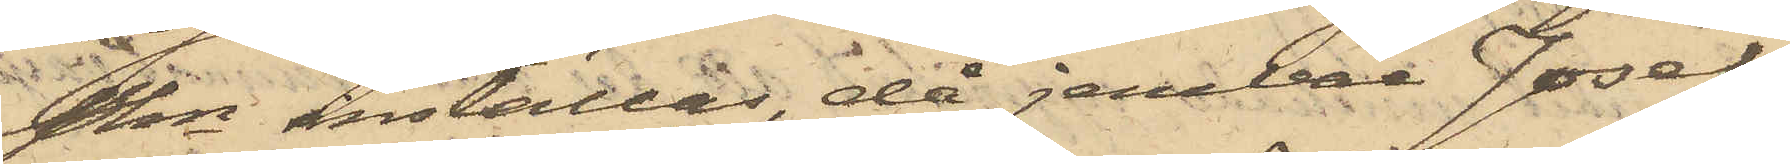Pkn inställas, då jemväl Josef
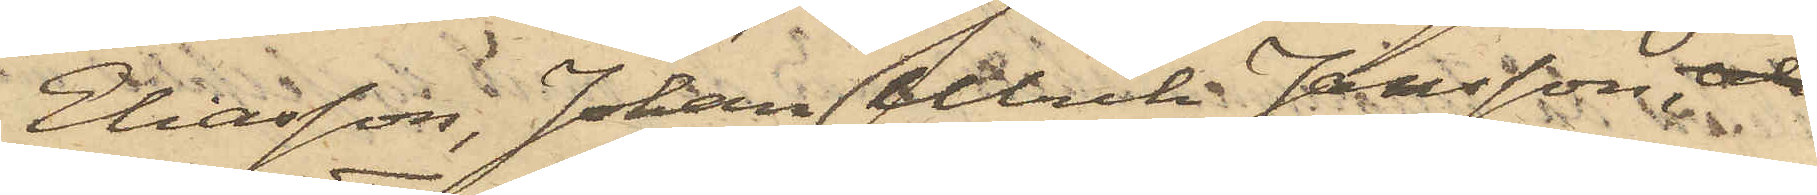Eliasson, Johan Ulrik Jansson, och
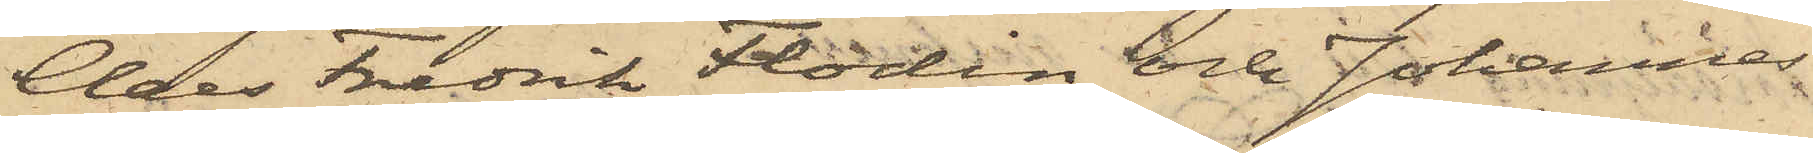Claes Fredrik Flodin och Johannes
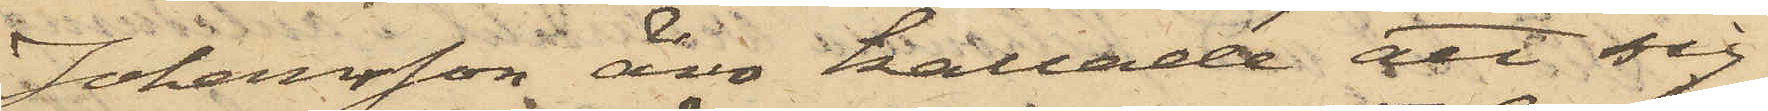Johansson äro kallade att sig
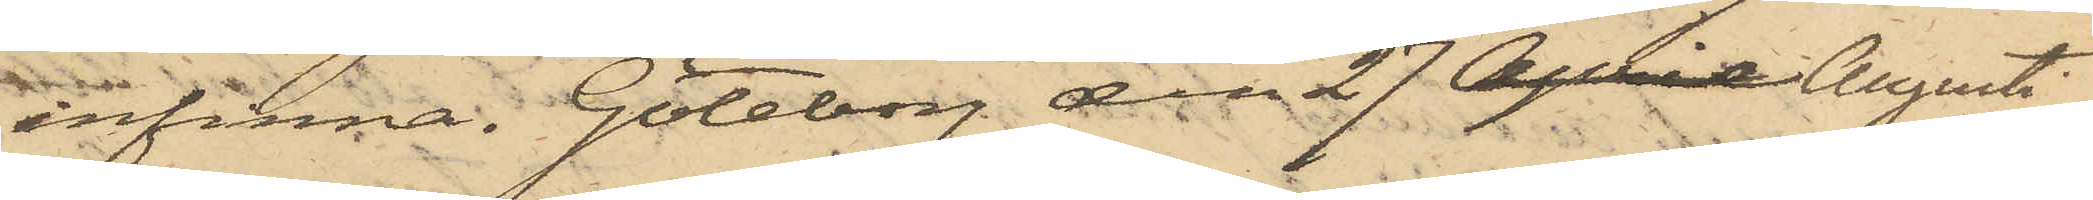infinna. Göteborg den 27 April Augusti
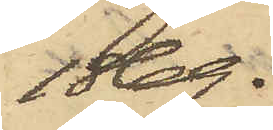1869.
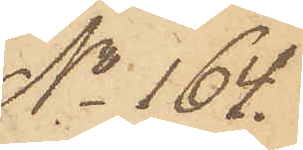No 164.
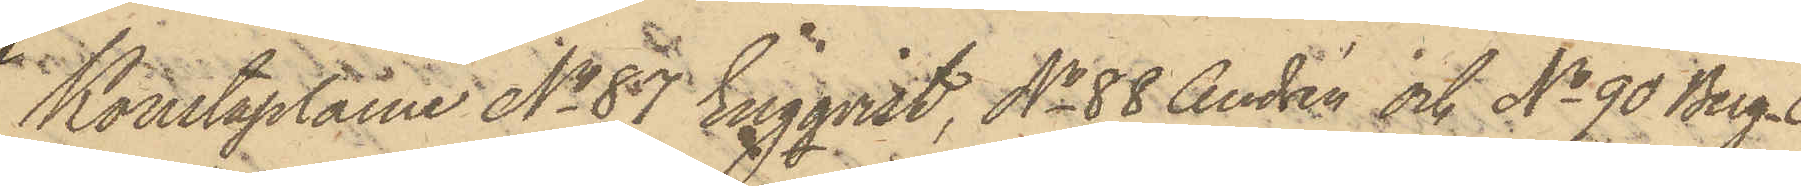Konstaplarne No 87 Eingqvist, No 88 Andrén och No 90 Berg¬
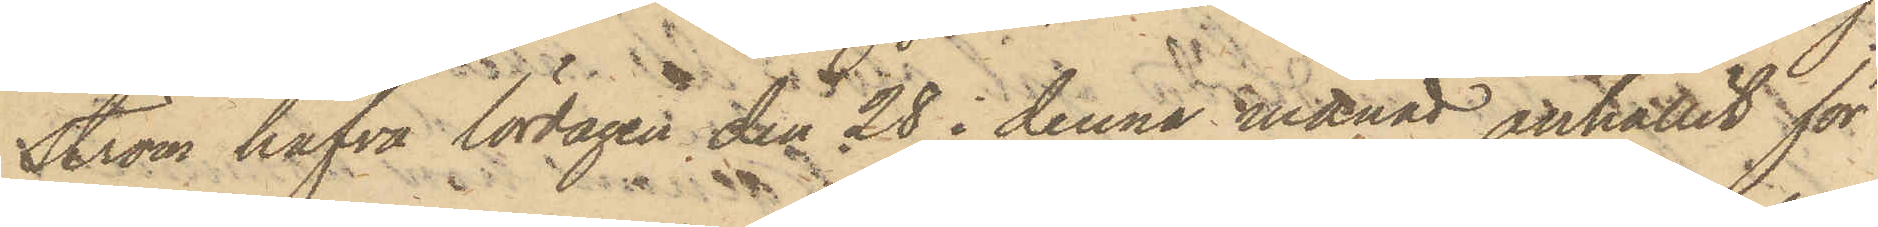ström hafva lördagen den 28 i denna månad anhållit för
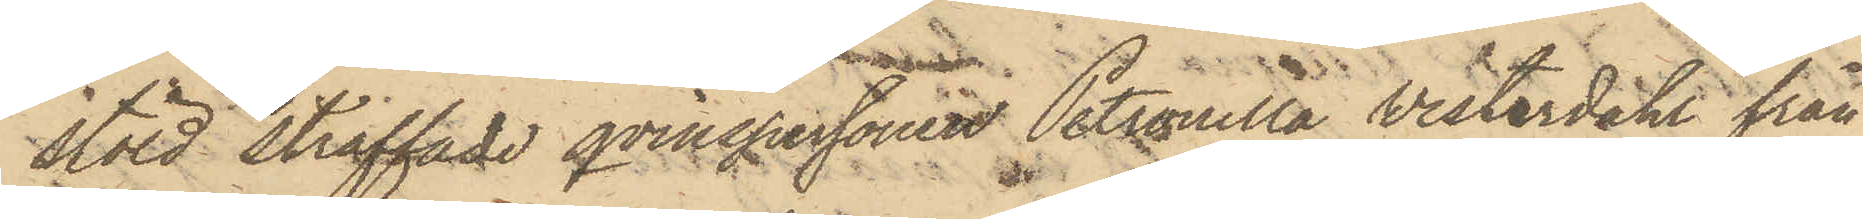stöld straffade qvinspersonen Petronella Vesterdahl från
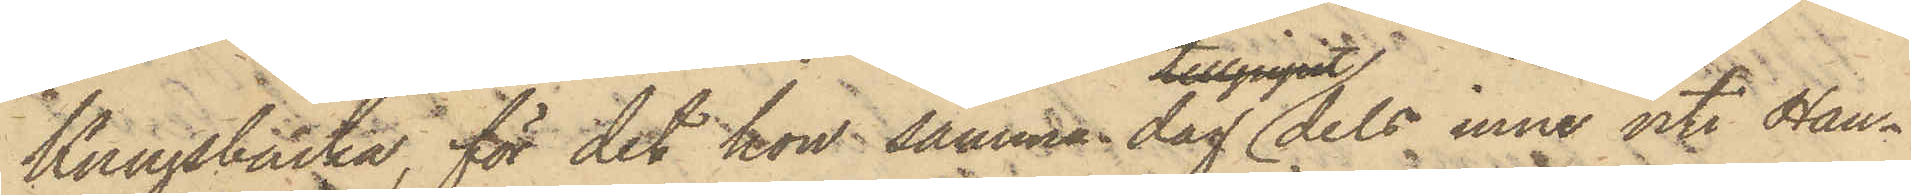Kungsbacka, för det hon samma dag dels inne uti Han¬
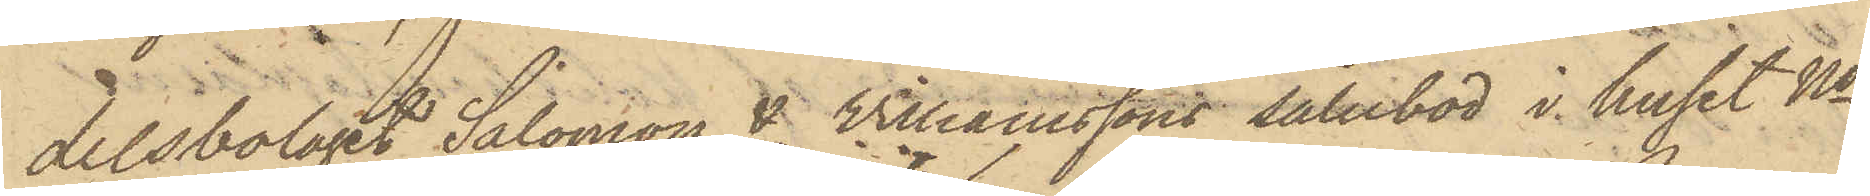delsbolaget Salomon & Williamssons salubod i huset No
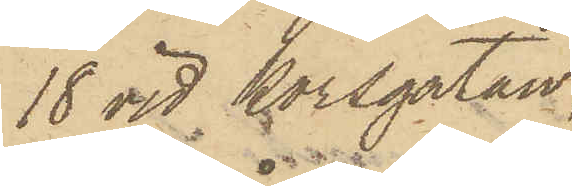18 vid Korsgatan,
